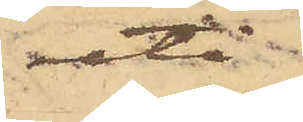uti
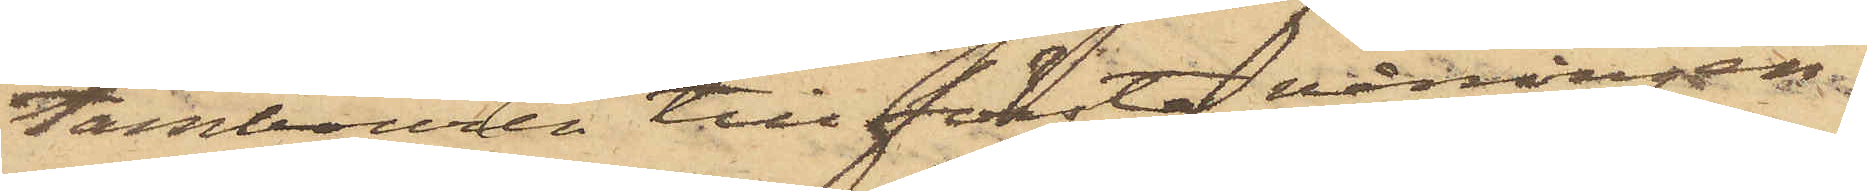tambouren till första våningen
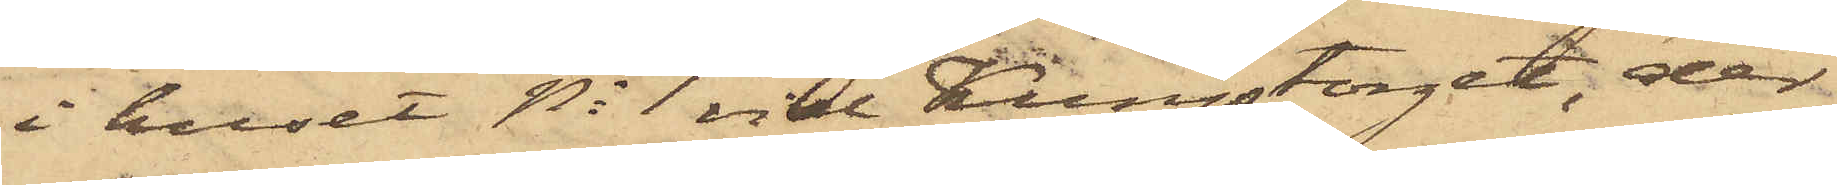i huset No 1 vid Kungstorget, der
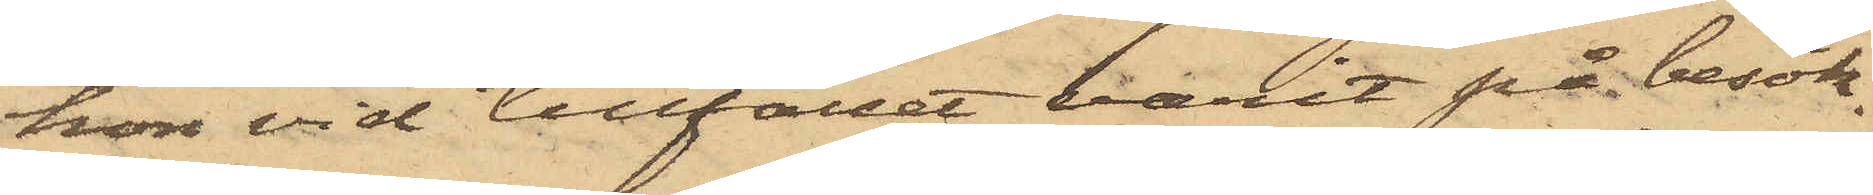hon vid tillfället varit på besök.
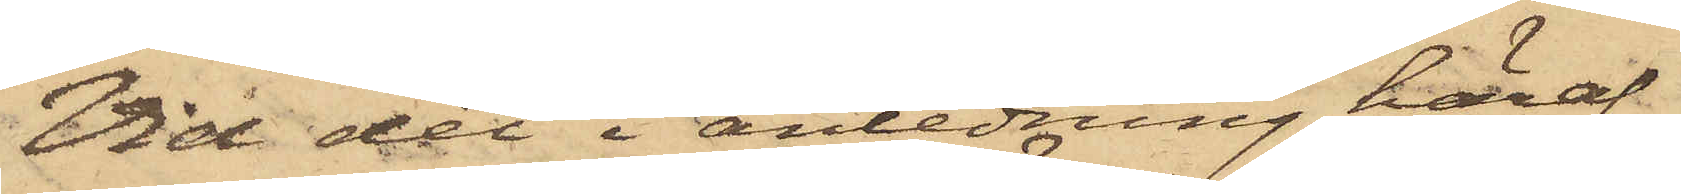Vid det i anledning häraf
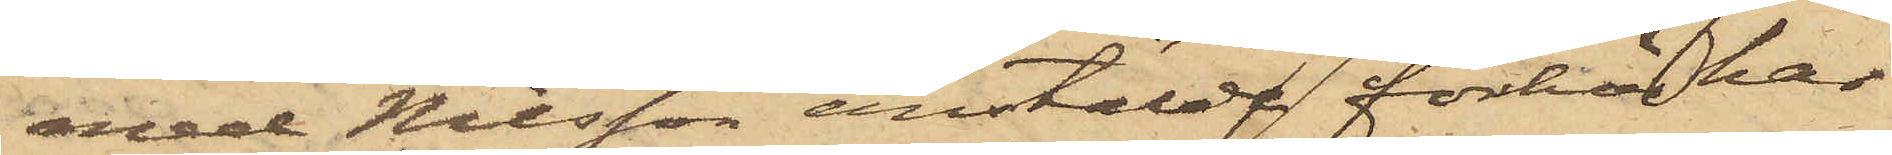med Nilsson anstälde förhör har
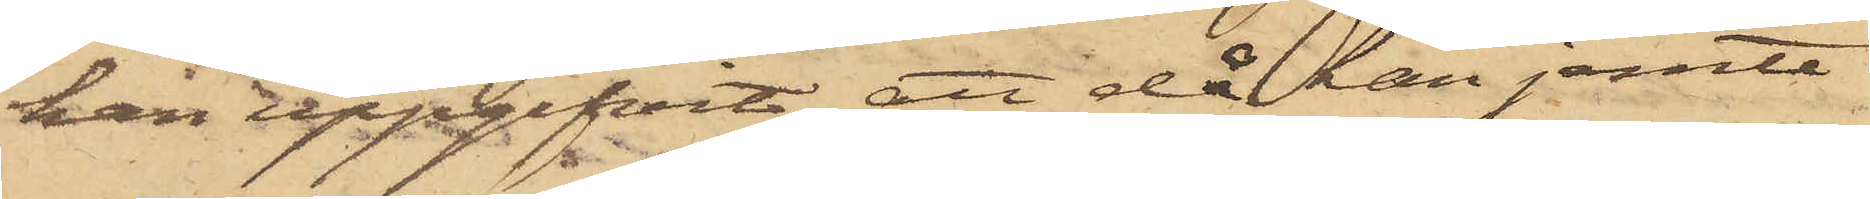han uppgifvit, att då han jemte
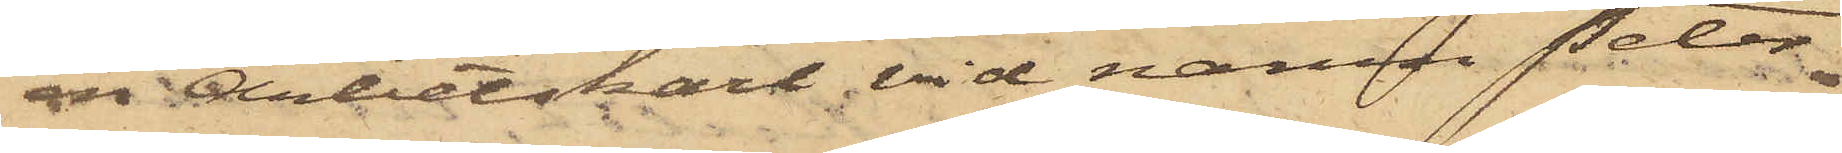en Arbetskarl vid namn Peter
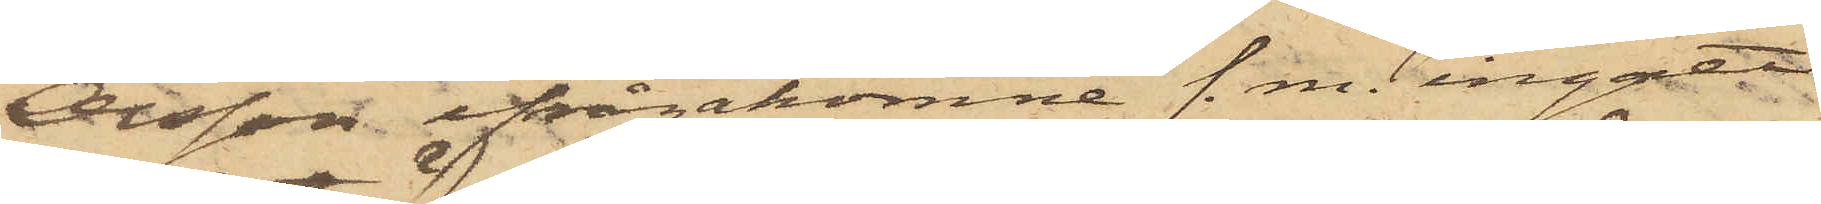Olsson ifrågakomne f. m. ingått
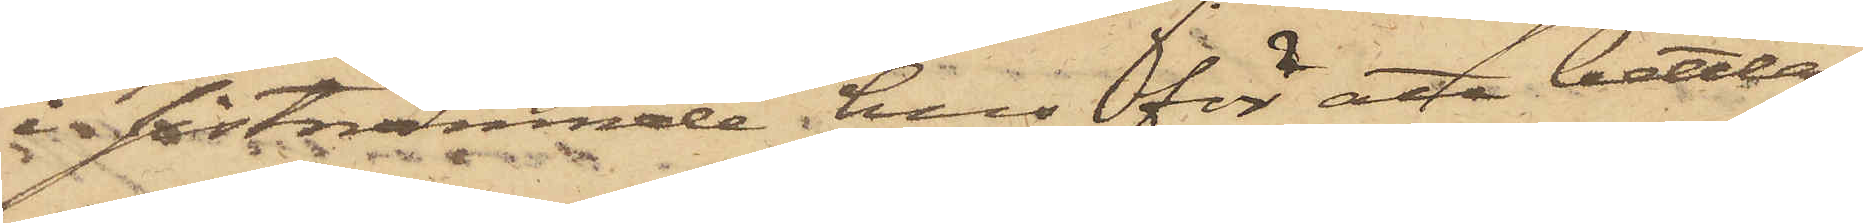i sistnämnde hus för att bettla
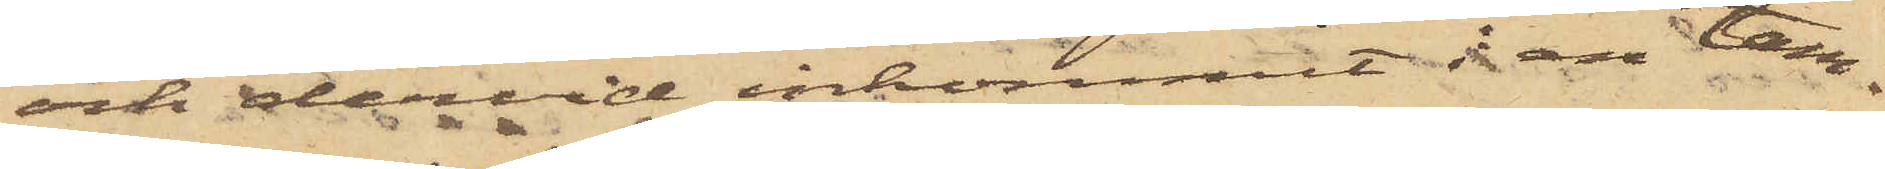och dervid inkommit i en tam¬
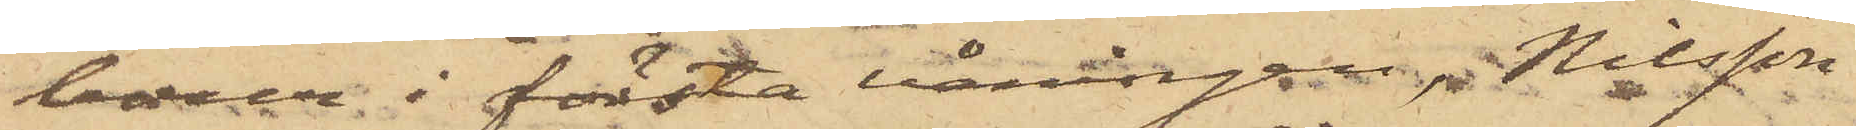bour i första våningen, Nilsson
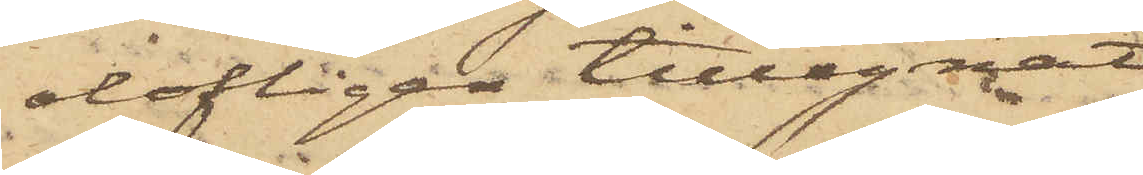olofligen tillegnat
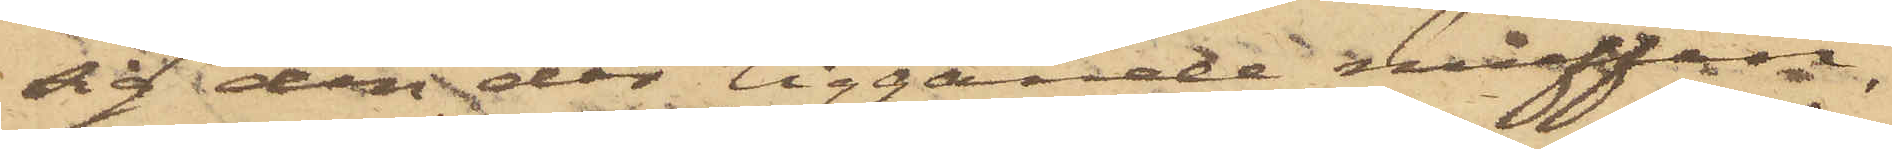sig den där liggande muffen,
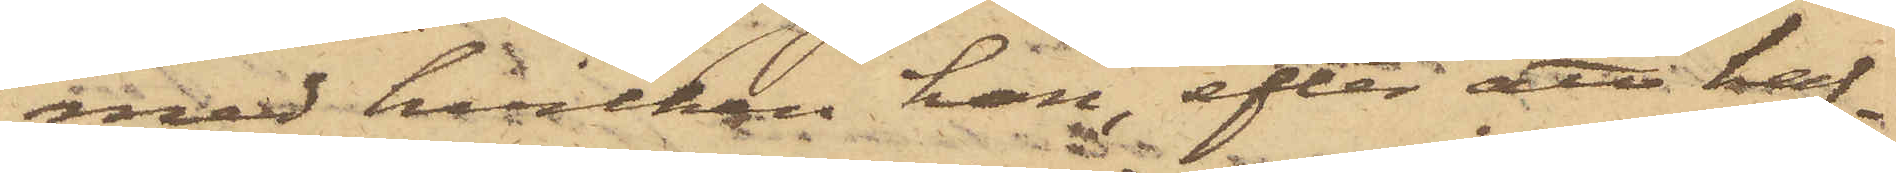med hvilken han, efter att haf¬
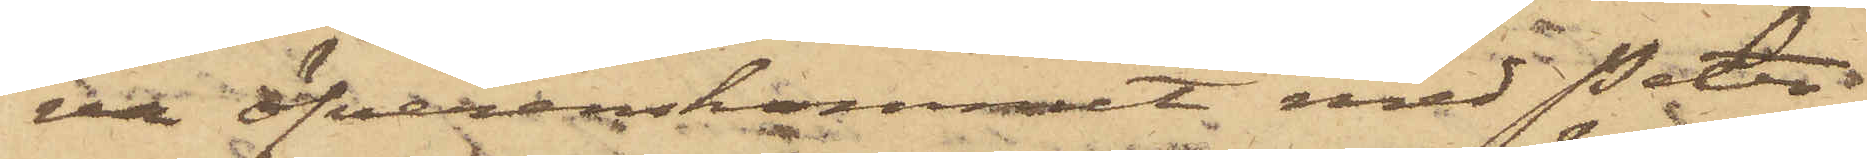va öfverenskommit med Peters¬
